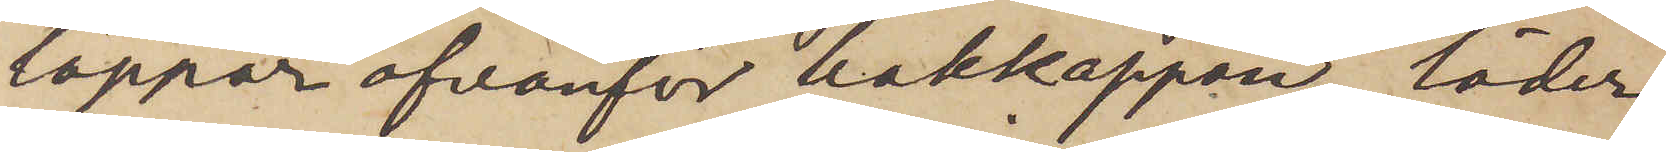lappar ofvanför bakkappan, läder¬
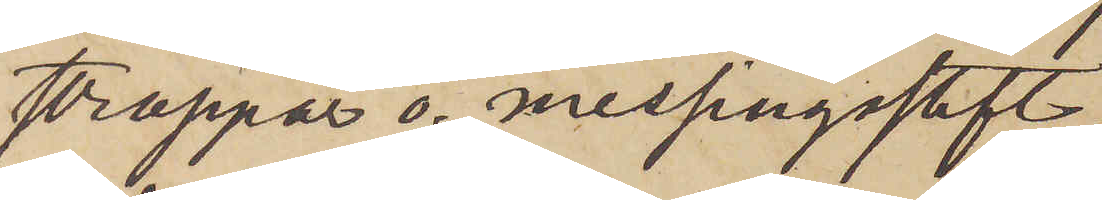stroppar o. messingsstift;
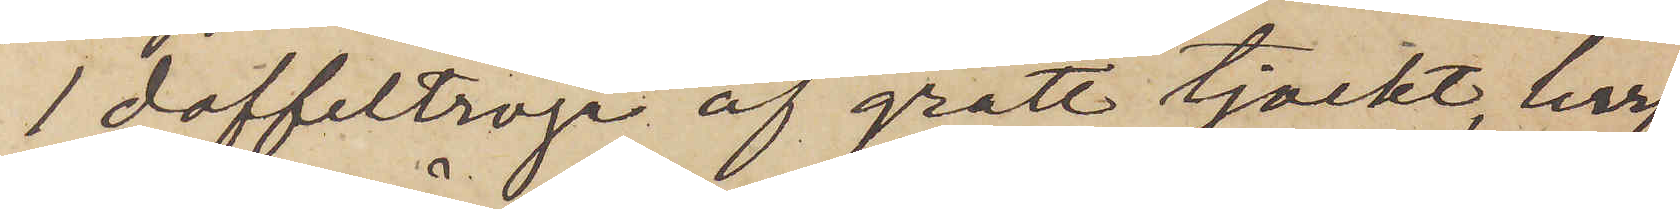1 doffeltröja af grått tjockt, lurf¬
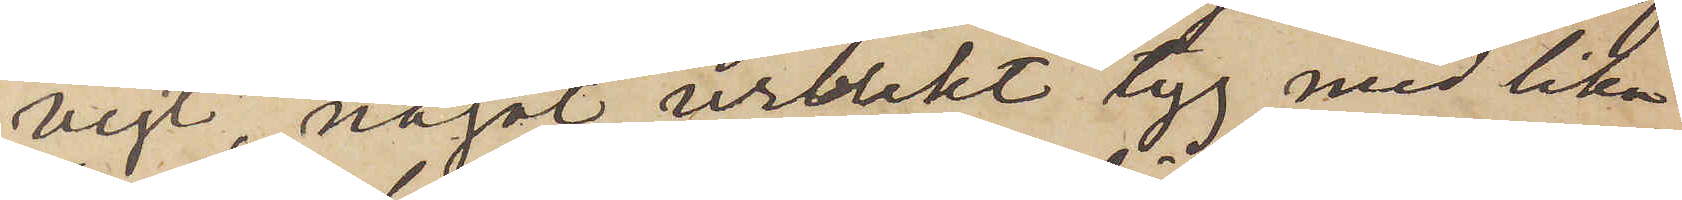vigt, något urblekt tyg med lika
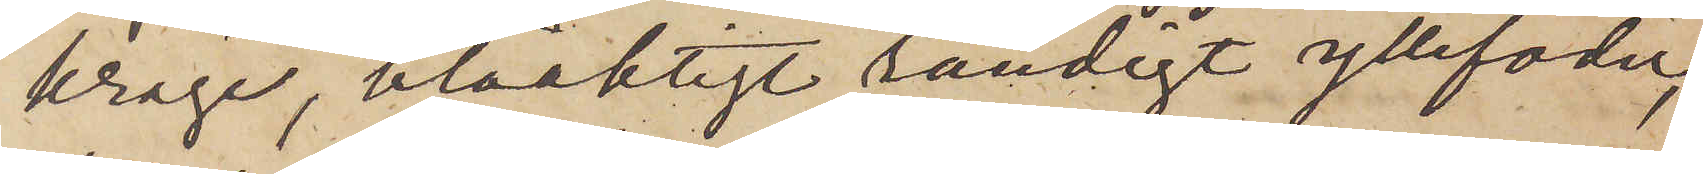krage, blåaktigt randigt yllefoder,
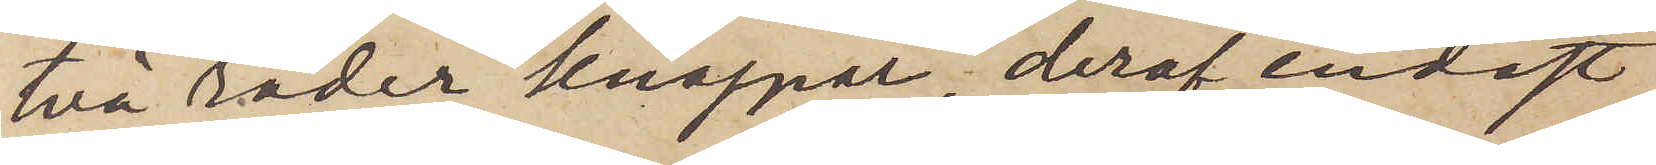två rader knappar, deraf endast
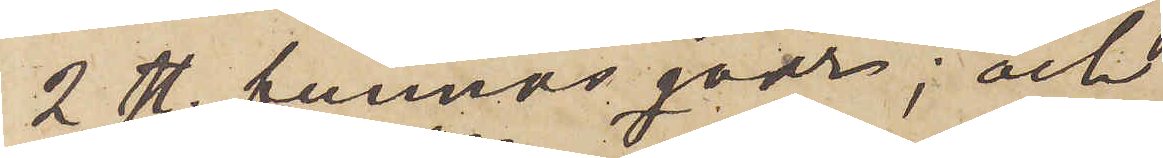2 st. funnos kvar; och
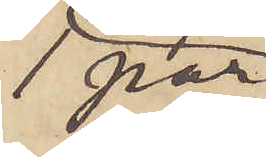1 par
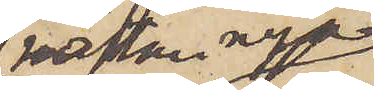nästan nya
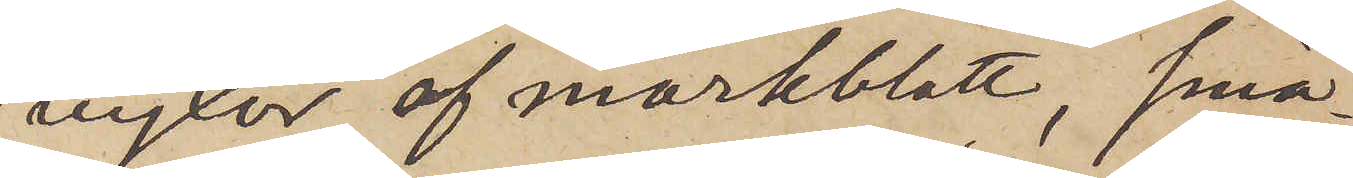byxor af mörkblått, små¬
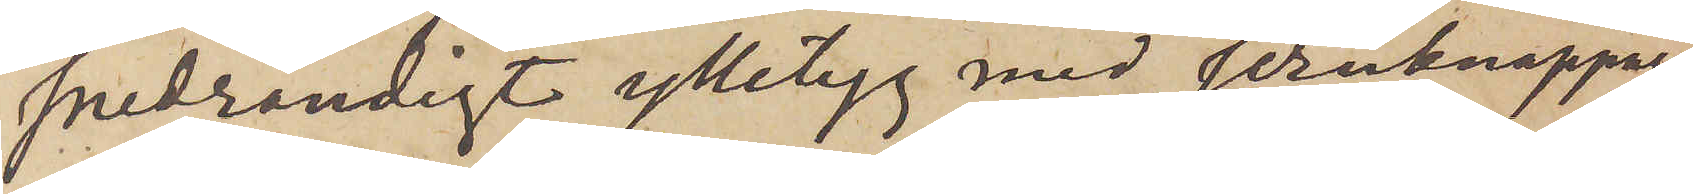snedrandigt ylletyg med jernknappar
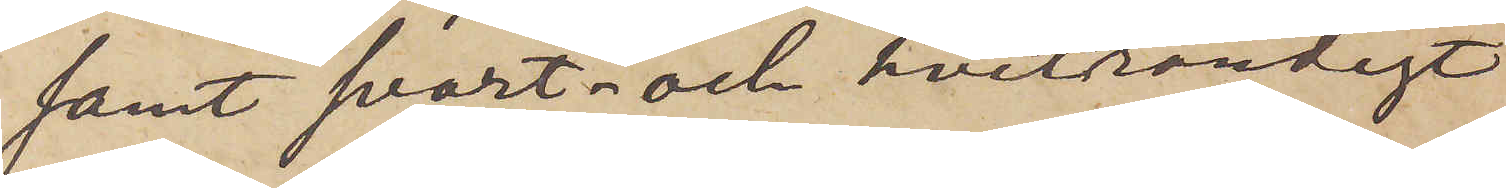samt svart och hvitrandigt
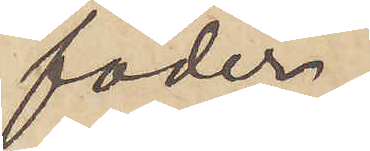foder.
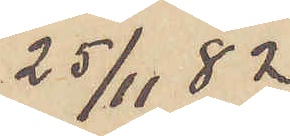25/11  82
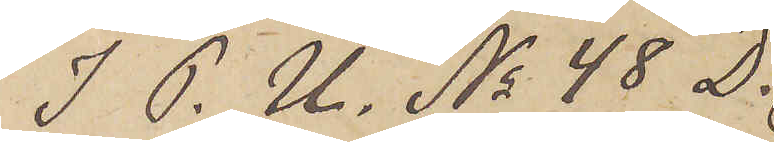I P. U. No 48 D.
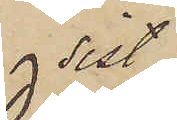sist
